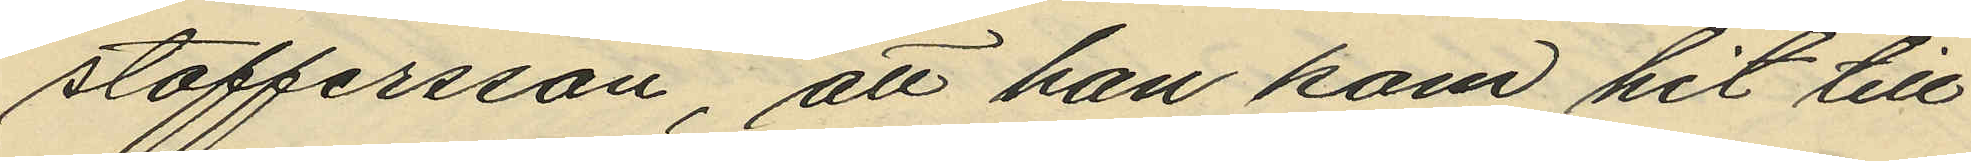stoffersson, att han kom hit till
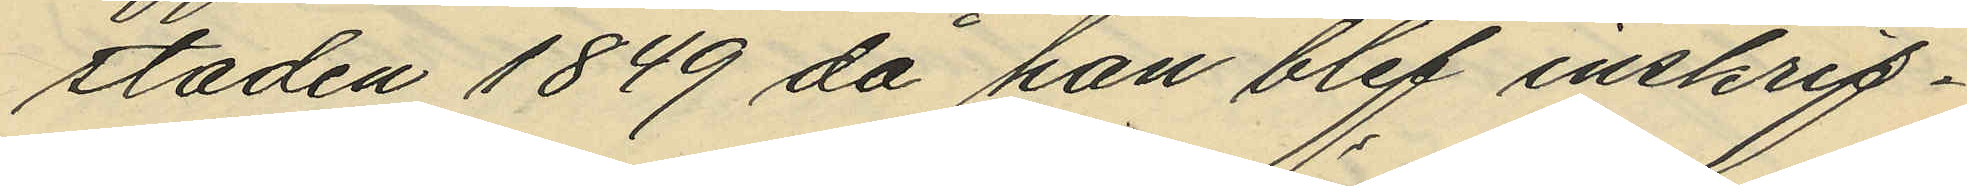staden 1849, då han blef inskrif¬
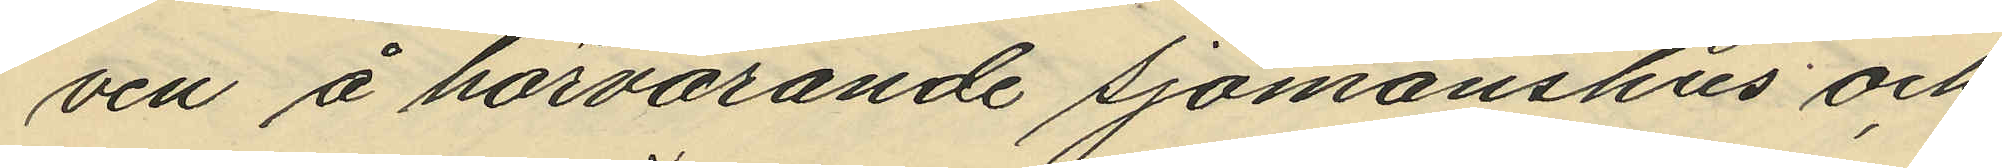ven å härvarande sjömanshus och
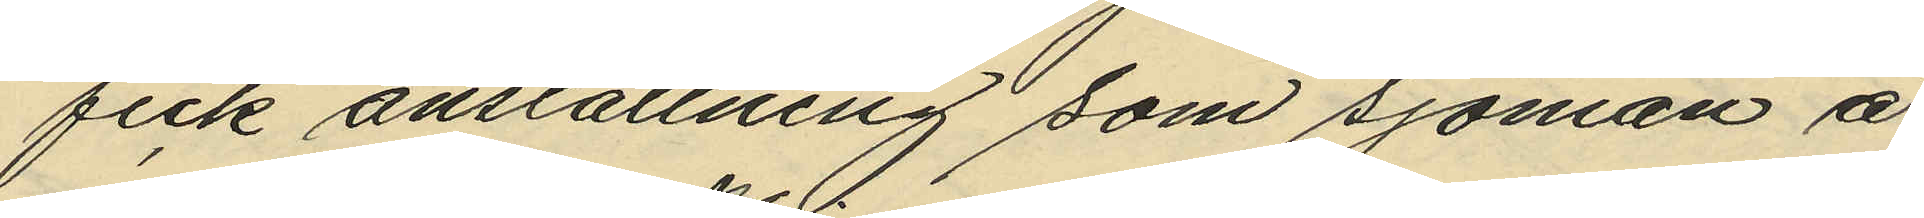fick anställning som sjöman å
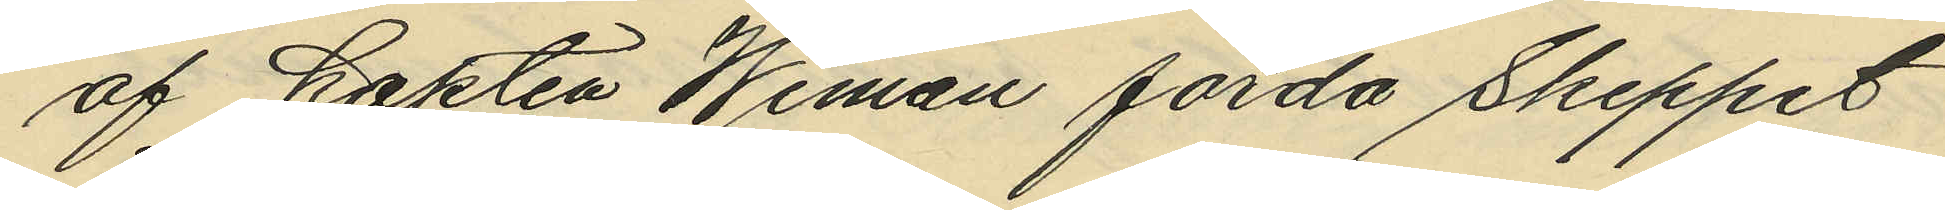af Kapten Wiman förda Skeppet
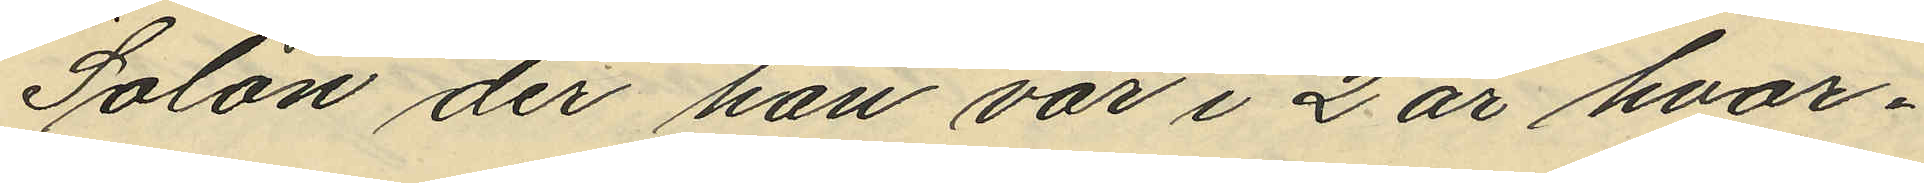"Solon" der han var i 2 år hvar¬
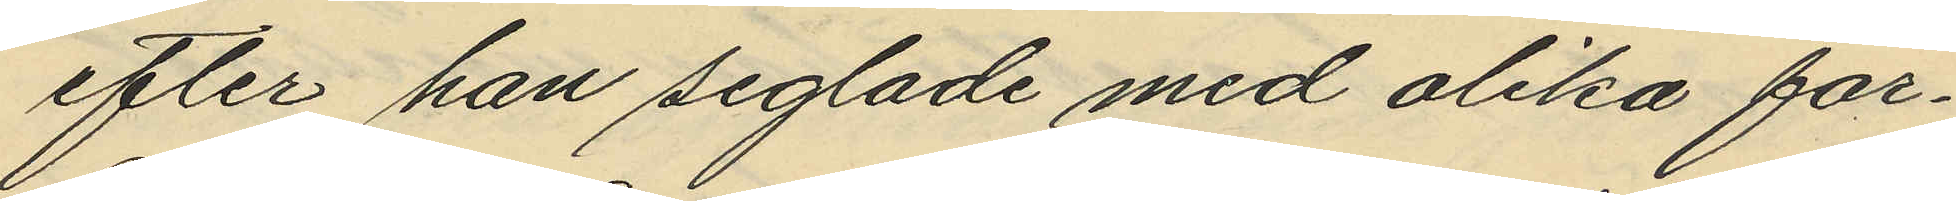efter han seglade med olika far¬
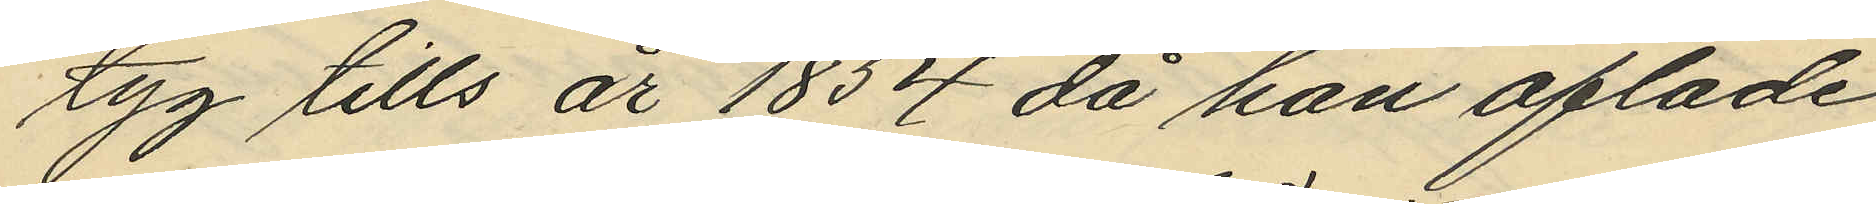tyg tills år 1854 då han aflade
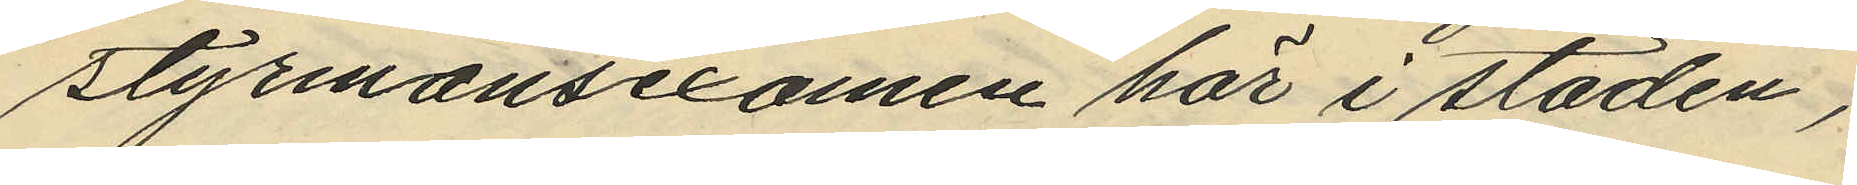styrmansexamen här i staden,
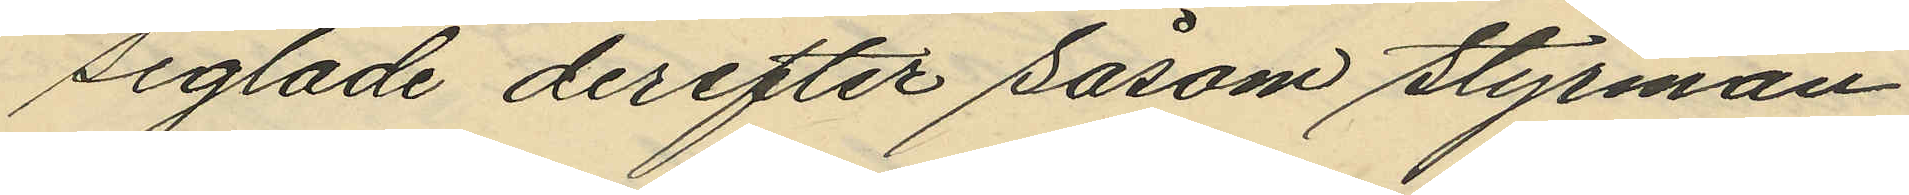seglade derefter såsom styrman
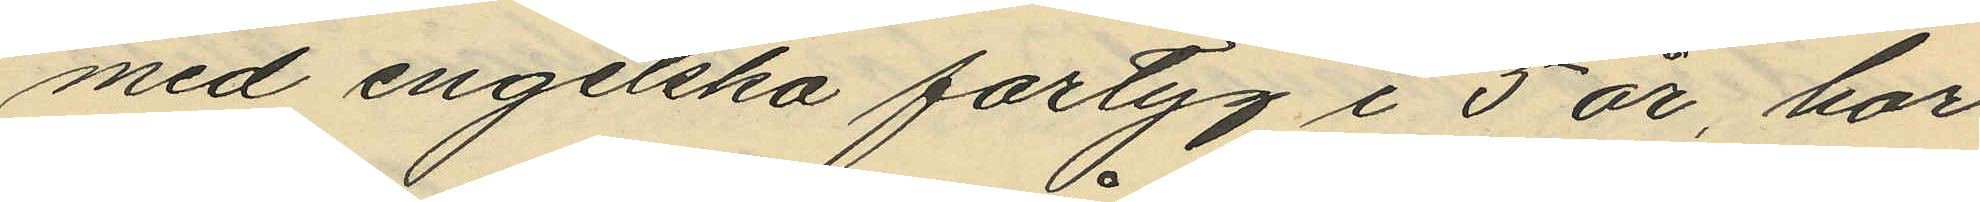med engelska fartyg i 5 år, har
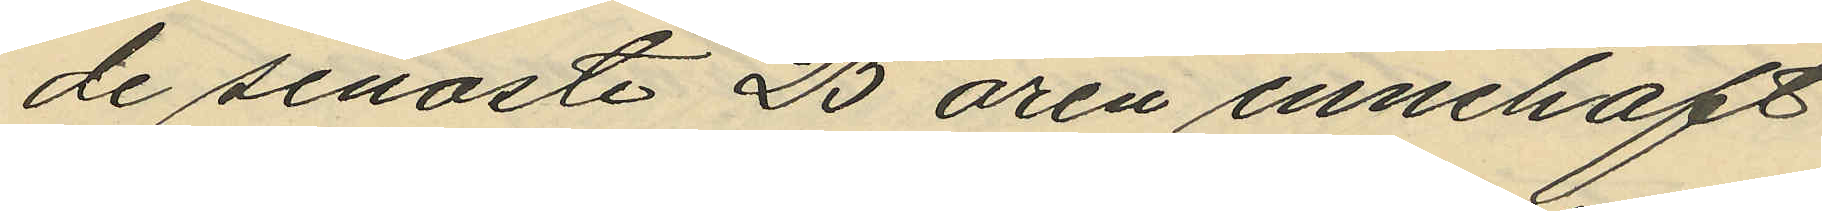de senaste 25 åren innehaft
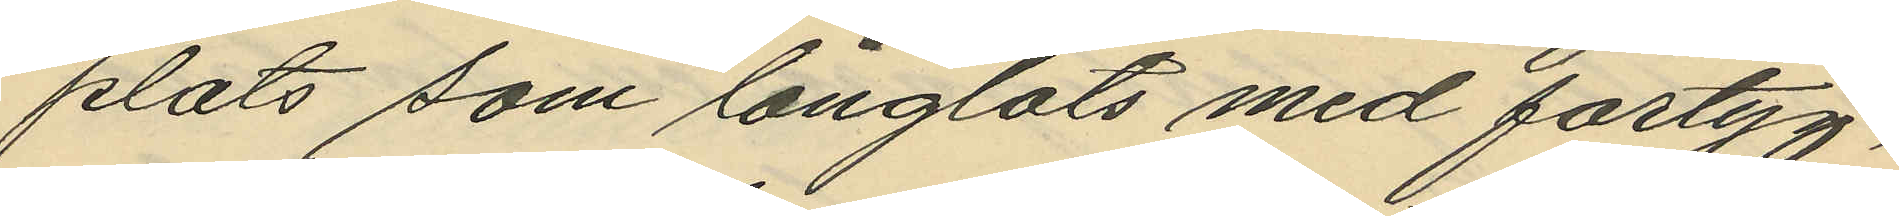plats som långlots med fartyg,
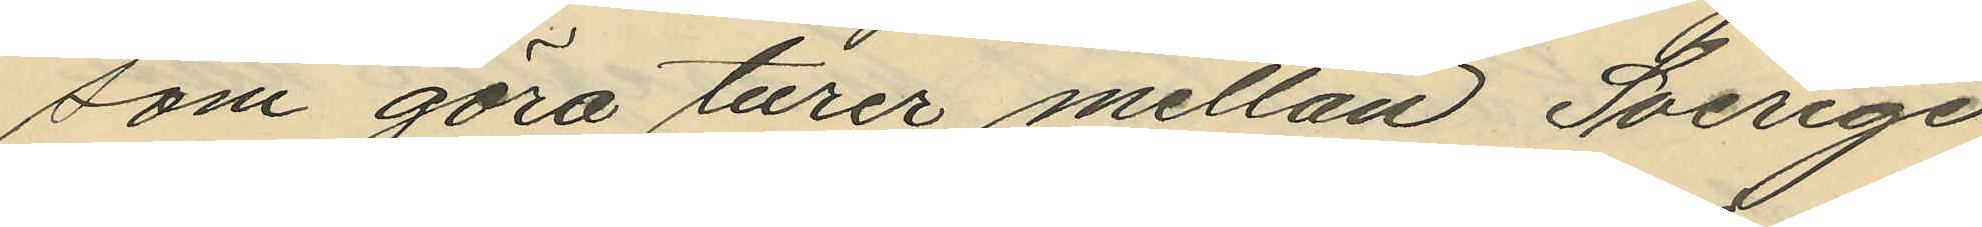som göra turer mellan Sverige
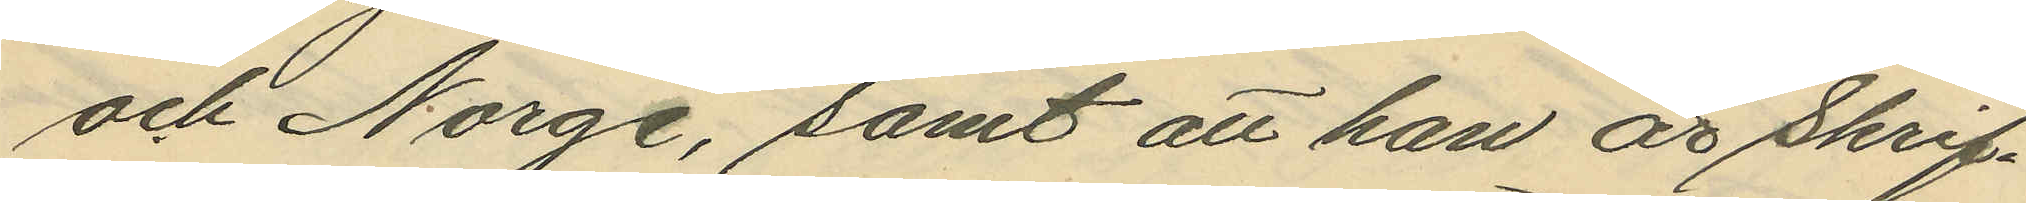och Norge, samt att han är skrif¬
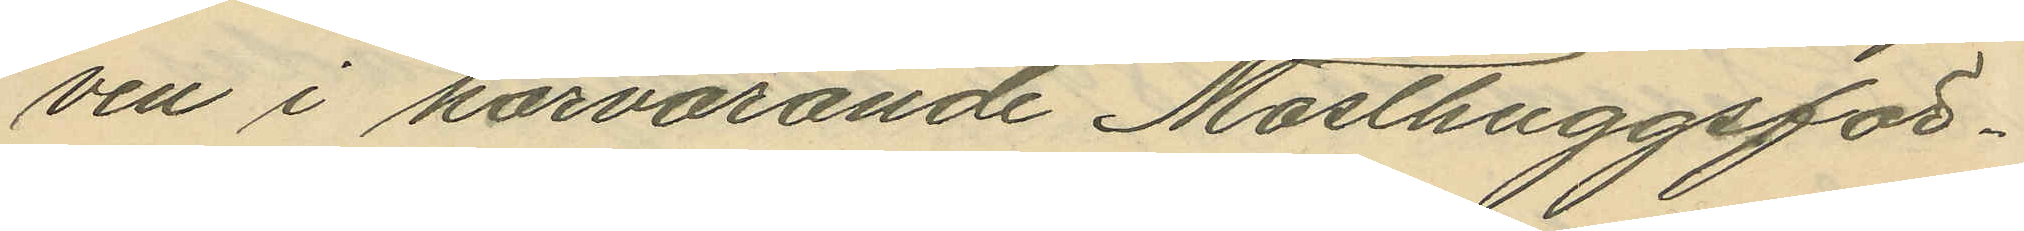ven i härvarande Masthuggsför¬
